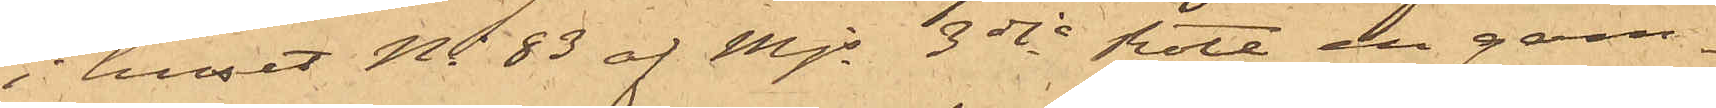i huset No 83 af Mjs 3dje Rote en gam¬
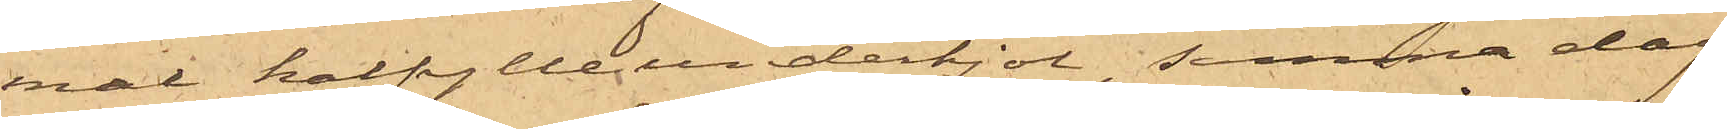mal halfylleunderkjol, samma dag
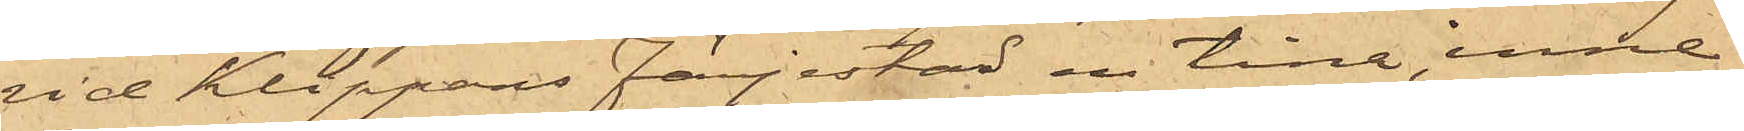vid Klippans Färjestad en tina, inne¬
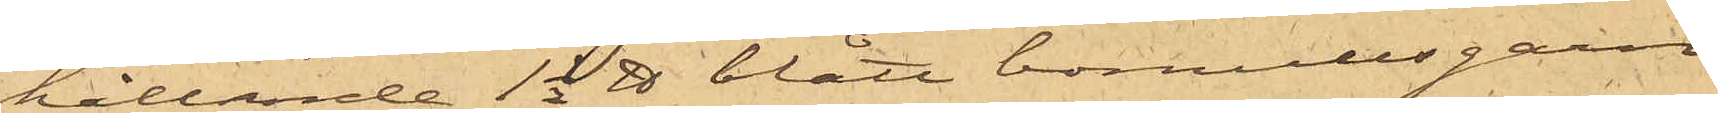hållande 1 1/2 ℔ blått bomullsgarn
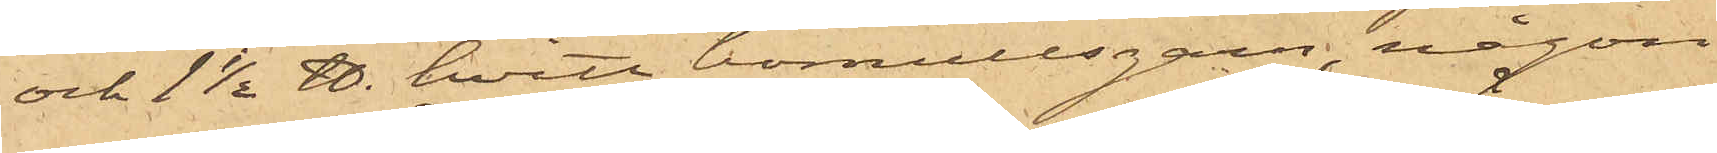och 1 1/2 ℔. hvitt bomullsgarn, någon
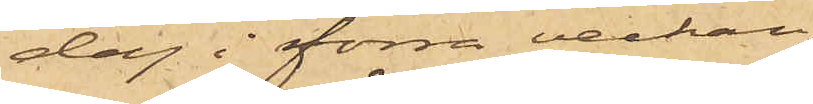dag i förra veckan
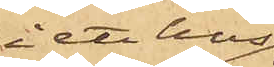i ett hus
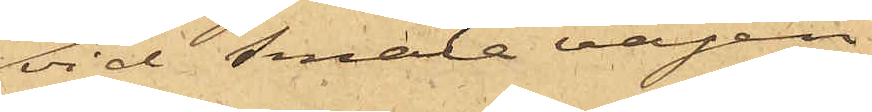vid Smala vägen
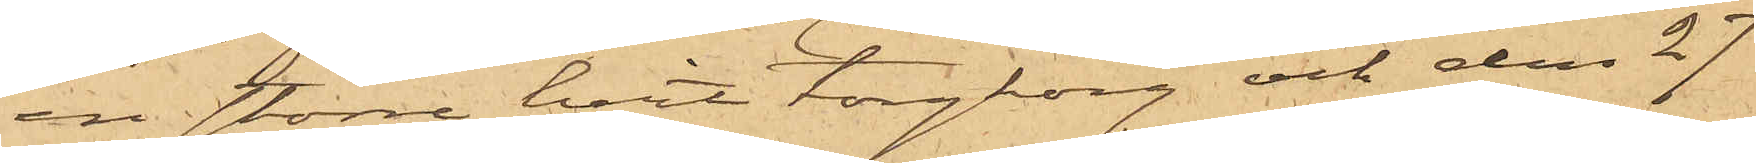en större hvit torgkorg och den 27
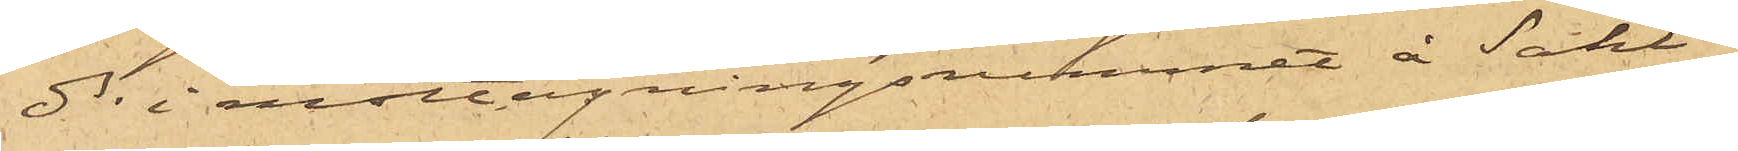ds i mottagningsrummet å Sahl¬
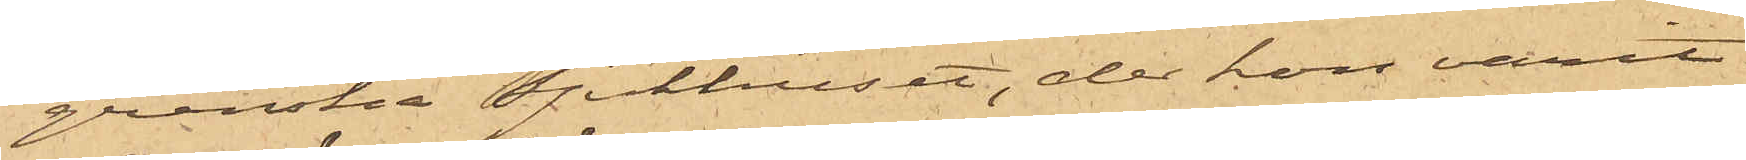grenska Sjukhuset, der hon varit
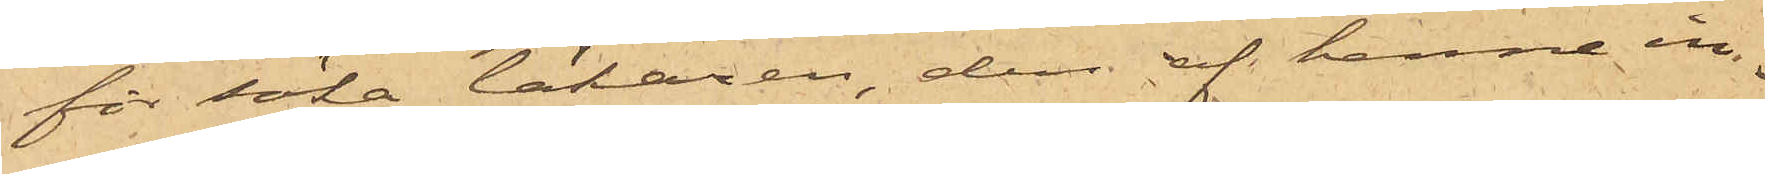för söka läkaren, den af henne in¬
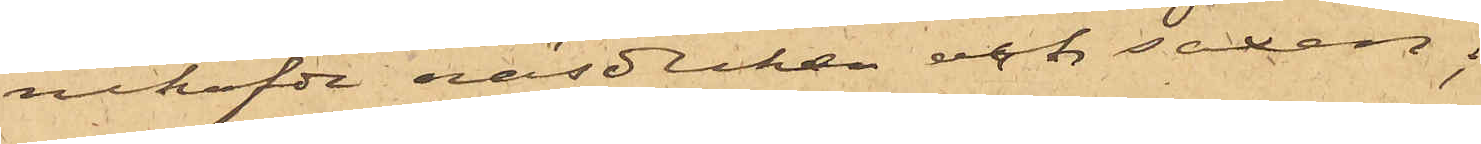nehafde näsduken och saxen;
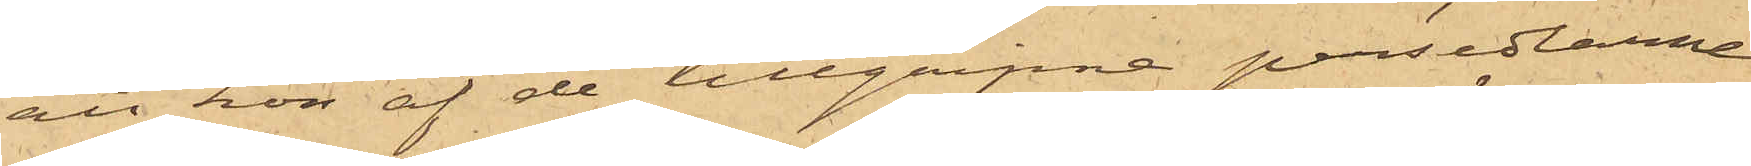att hon af de tillgripne persedlarne
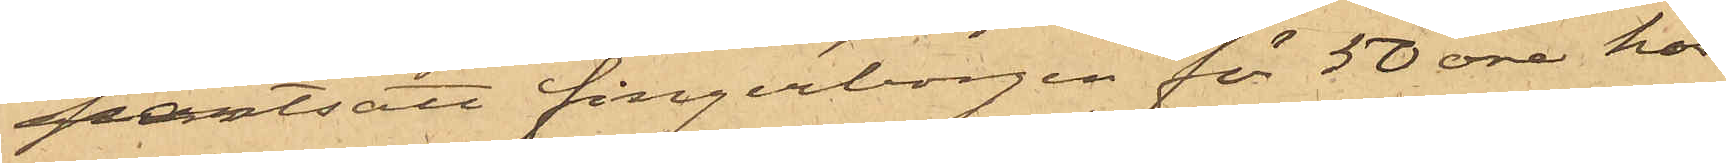pantsatt fingerborgen för 50 öre hos
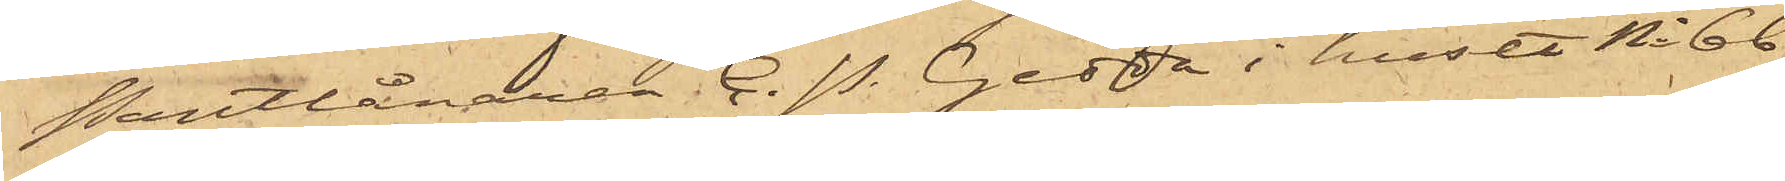Pantlånaren C. P. Gedda i huset No 66
